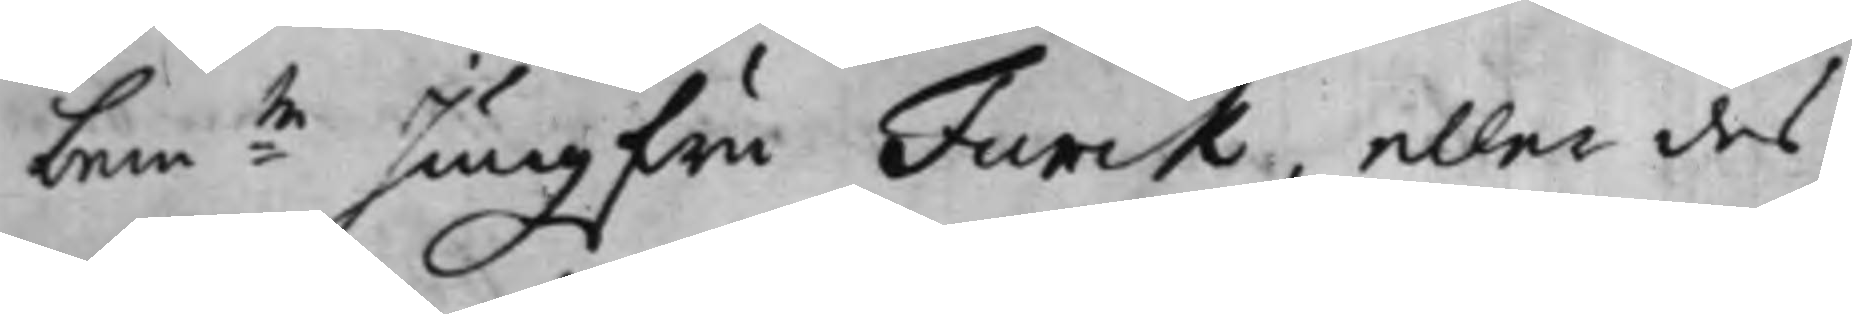bem:te Jungfru Funck, eller des
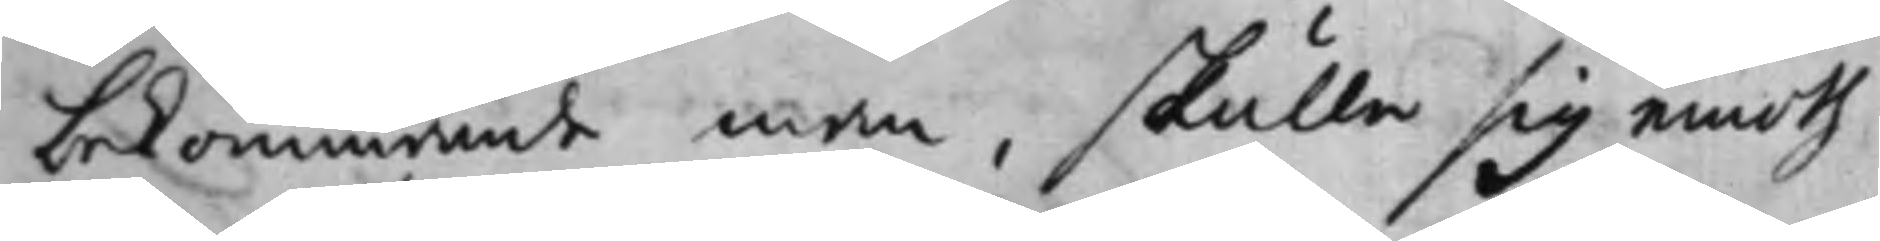bekommande man, skulle sig emoth
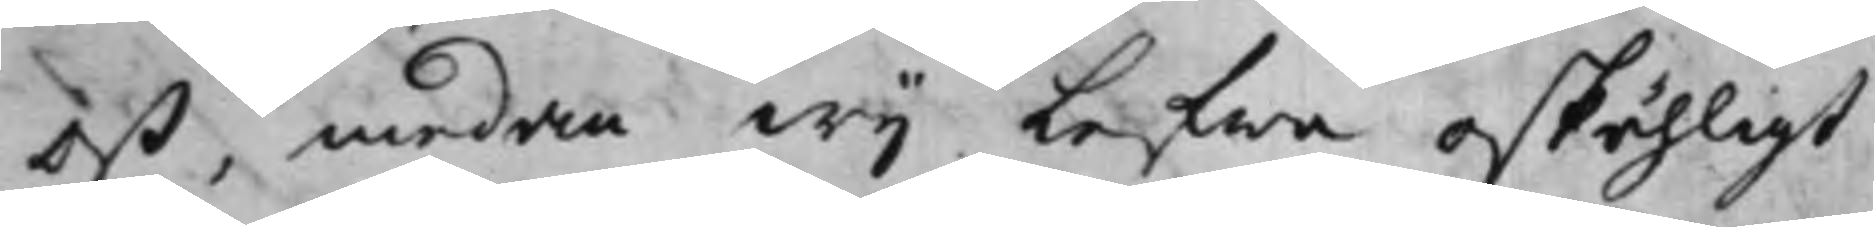oß, medan Wij Lefwa oskähligt
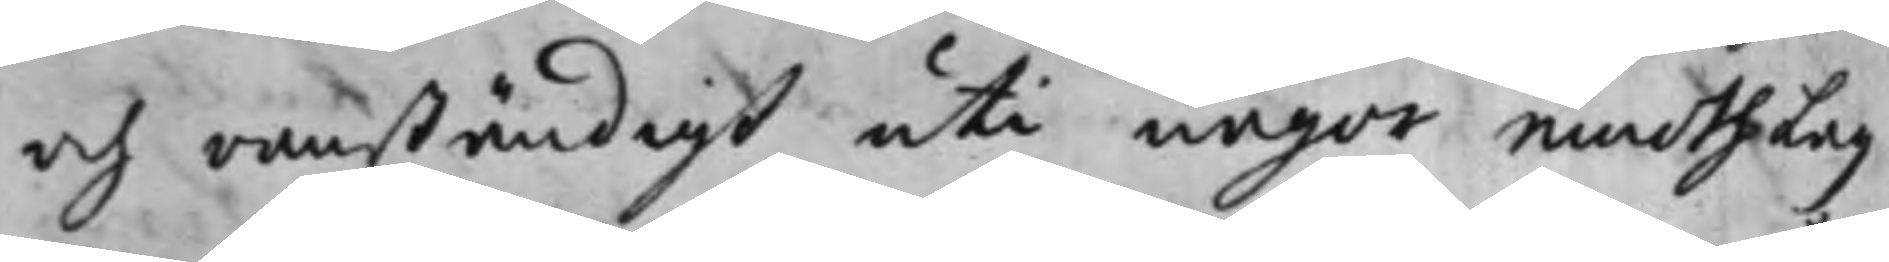och oanständigt uti någor emoth Lag
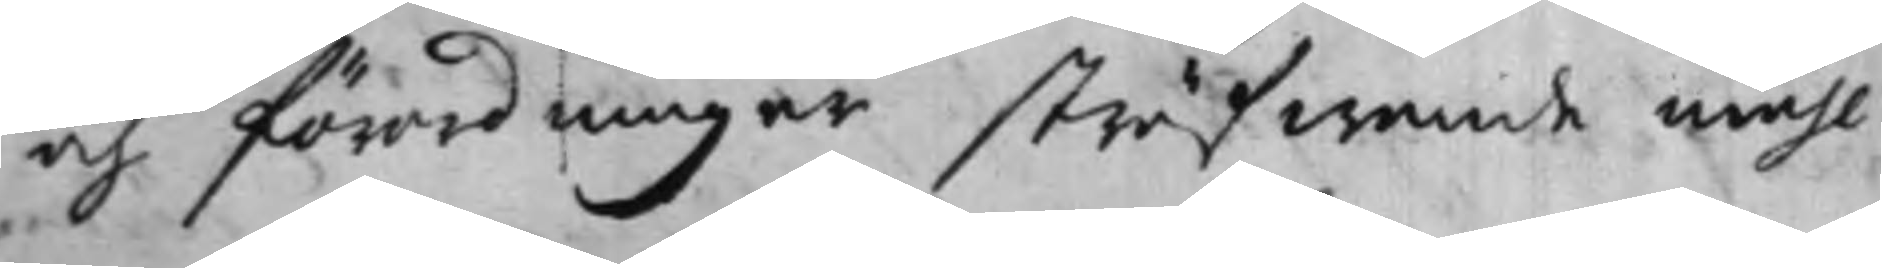och förordningar sträfwande måhl
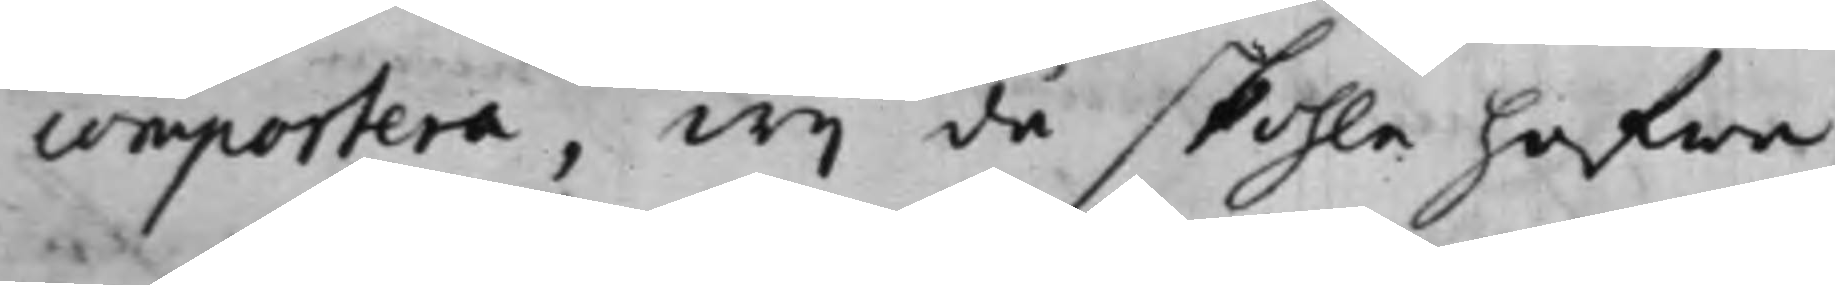comportera, Wij då skohle hafwa
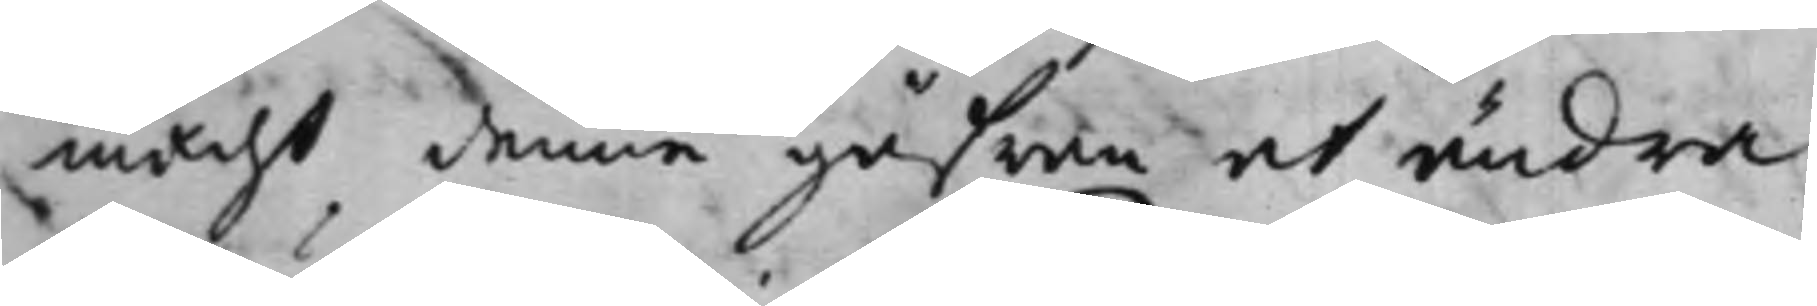macht denne gåfwan at ändra
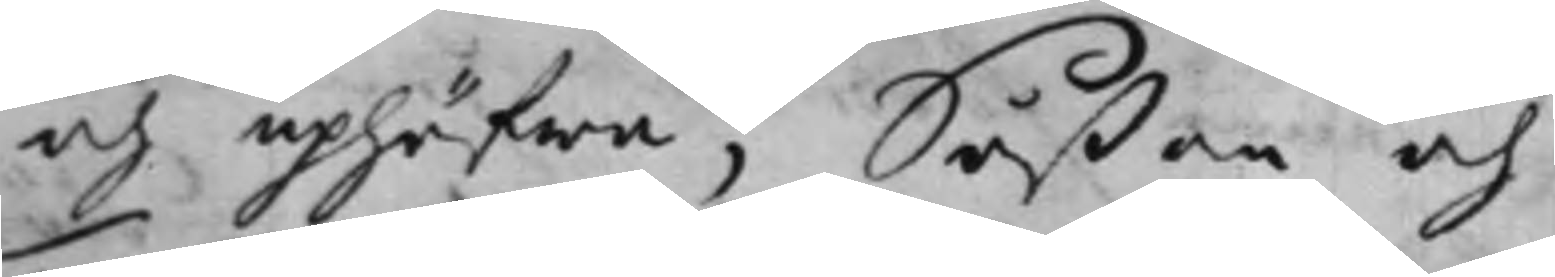och uphäfwa; Såßom och
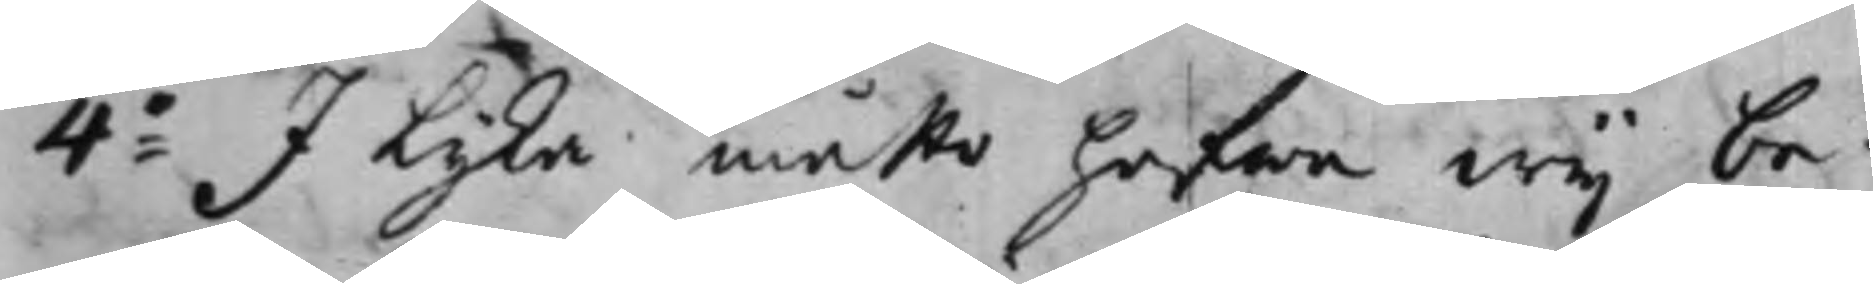4:o I lika måtto hafwa Wij be¬
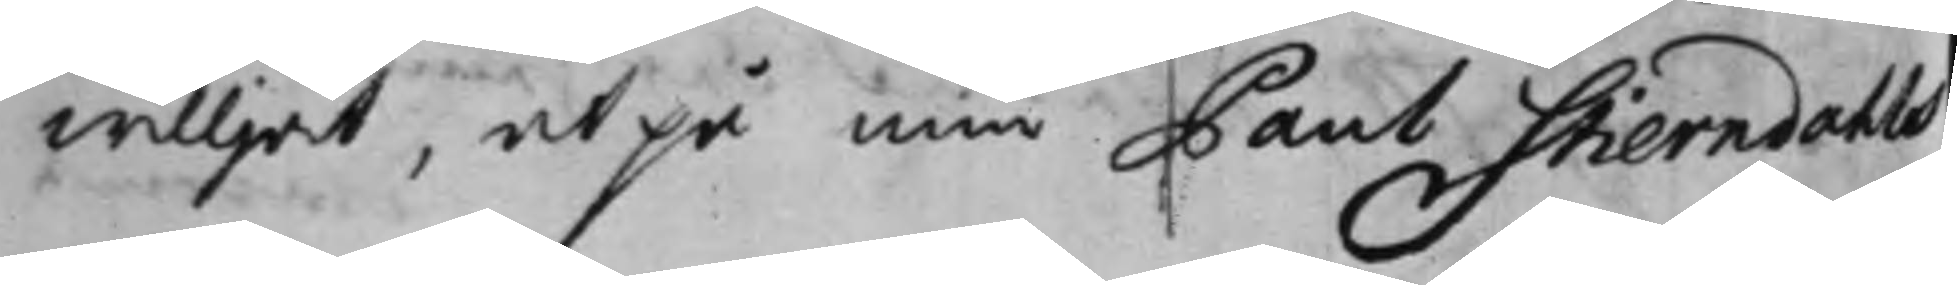willjat, at på min Paul Stierndahls
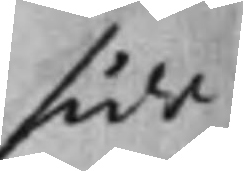sida
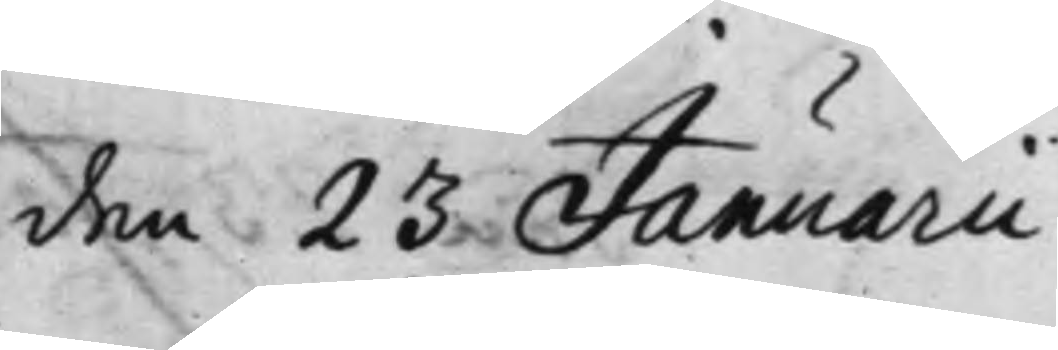den 23 Januarii
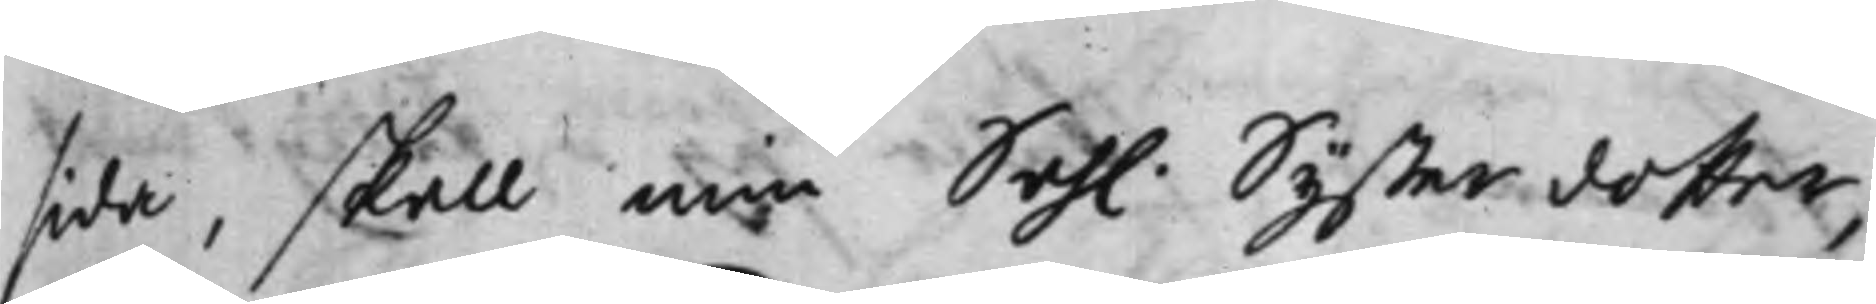sida, skall min Sah. Systerdotter,
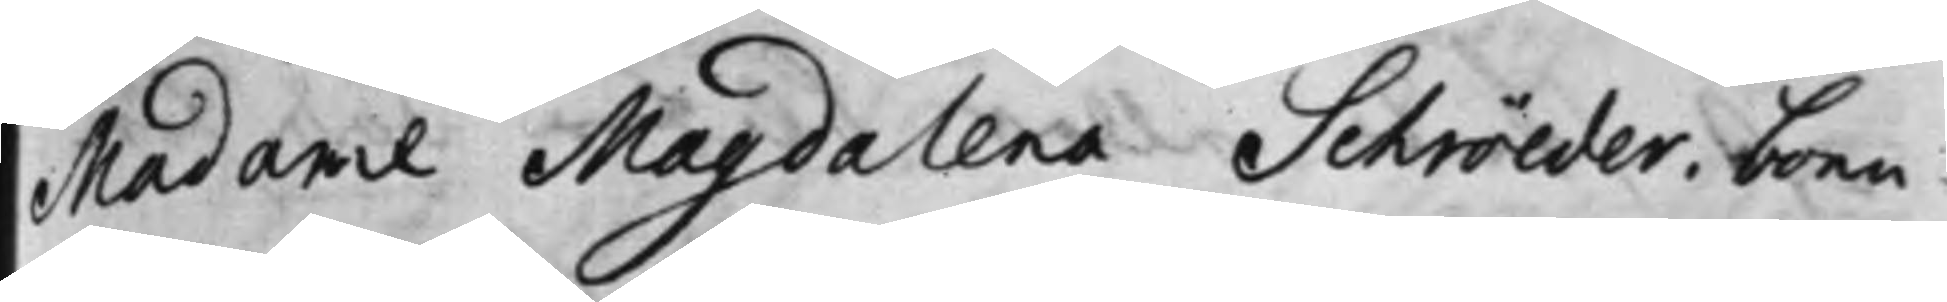Madame Magdalena Schröeder, boen¬
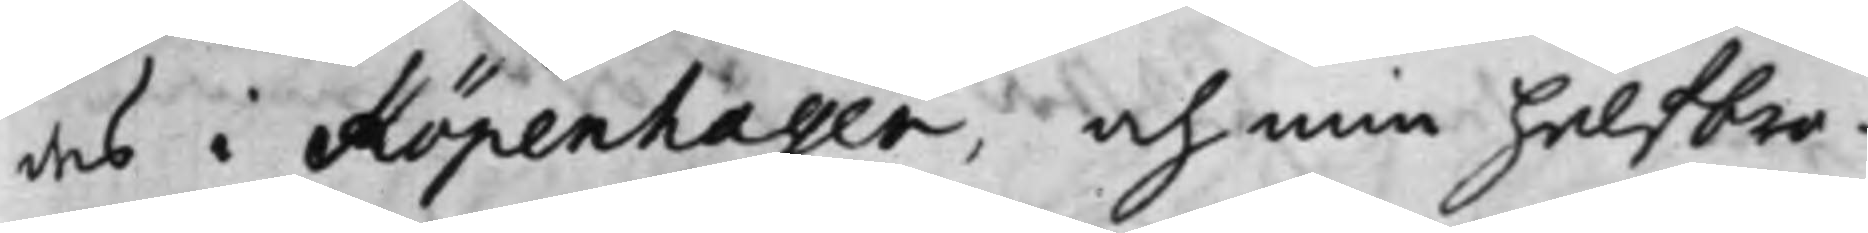des i Köpenhagen, och min halfbro¬
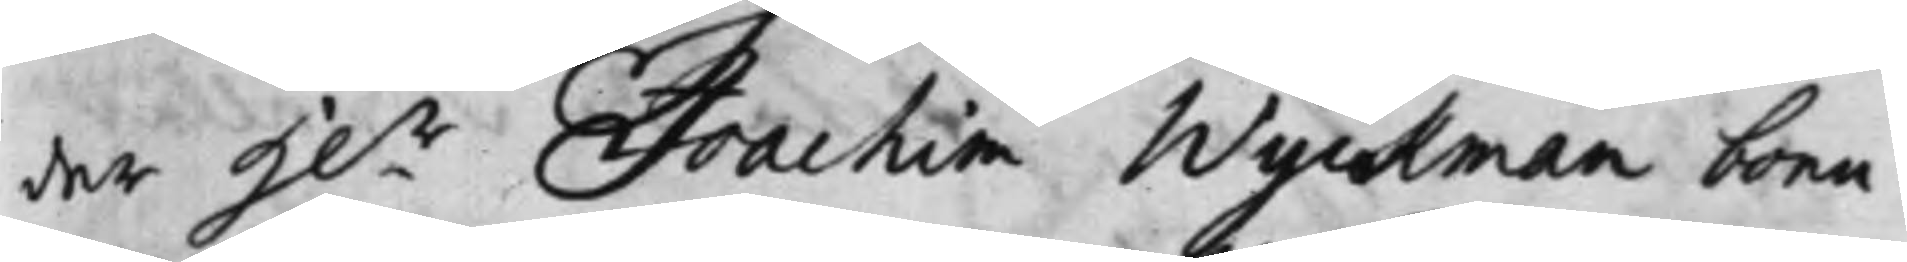der H.r Joachim Wijckman boen¬
